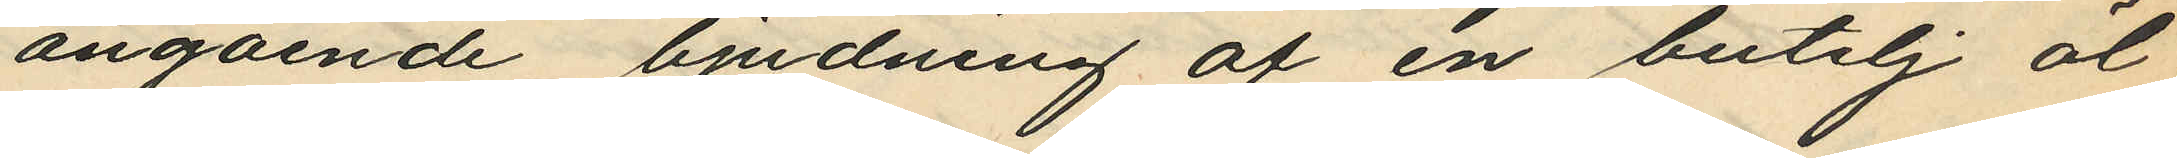angående bjudning af en butelj öl;
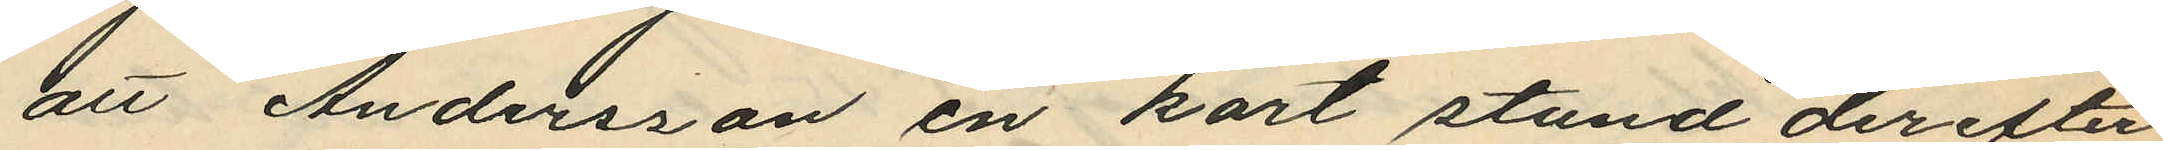att Andersson en kort stund derefter
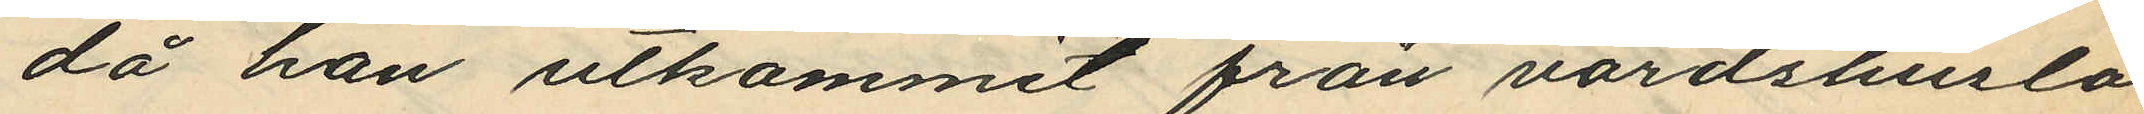då han utkommit från värdshuslo¬
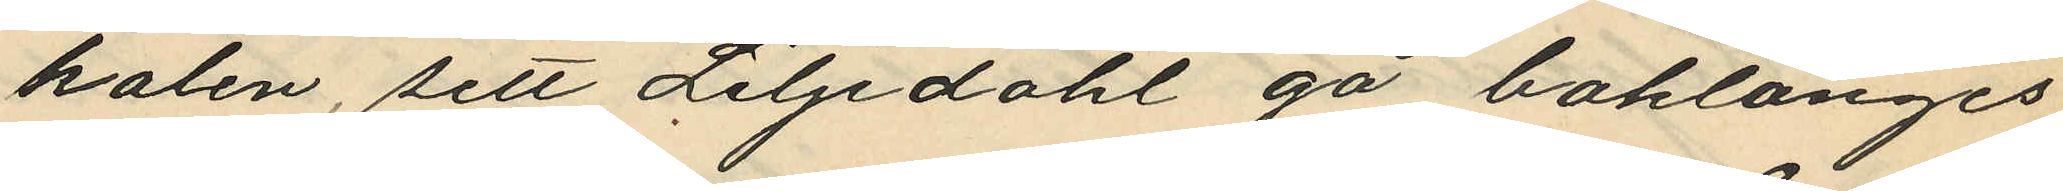kalen, sett Liljedahl gå baklänges
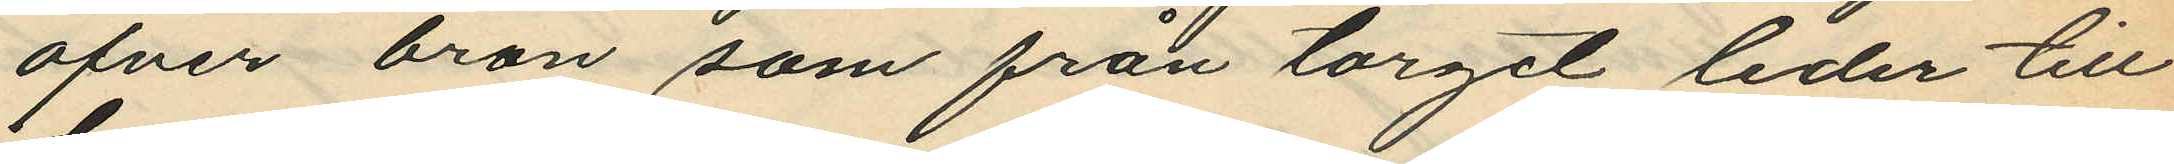öfver bron som från torget leder till
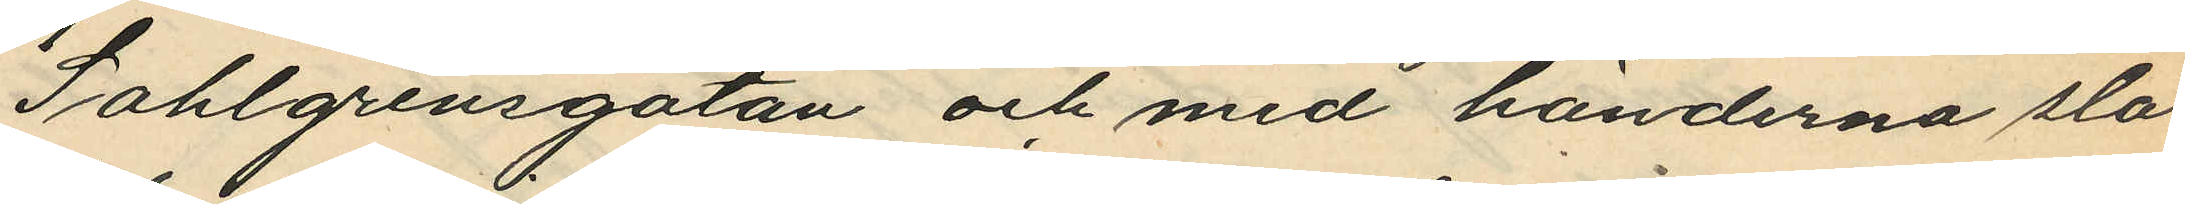Sahlgrensgatan och med händerna slå
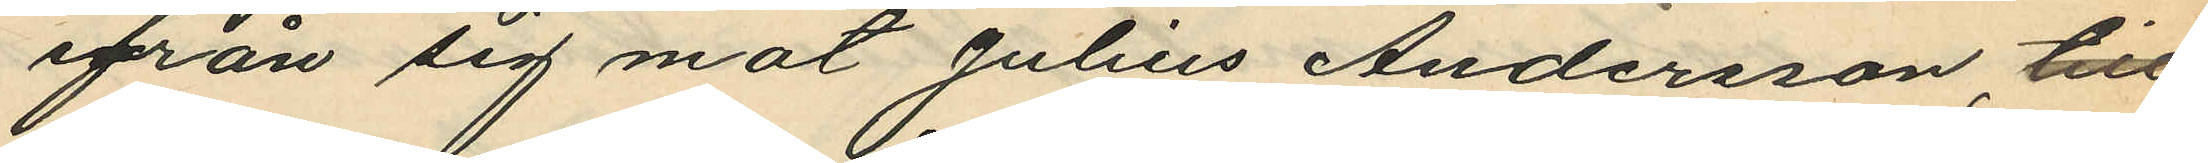ifrån sig mot Julius Andersson, till
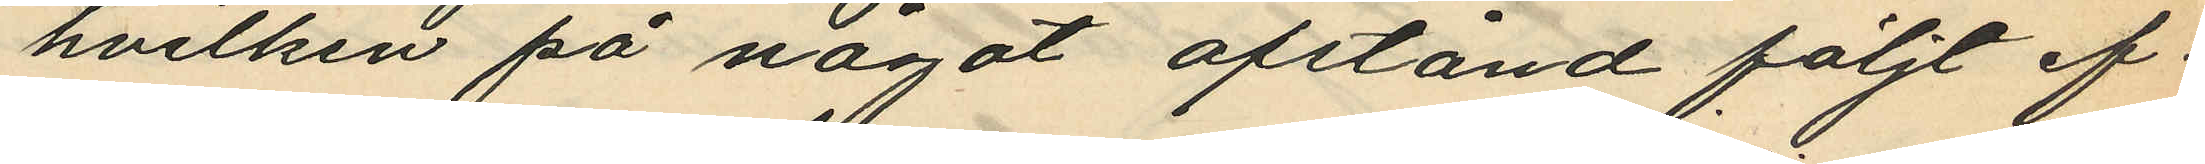hvilken på något afstånd följt ef¬
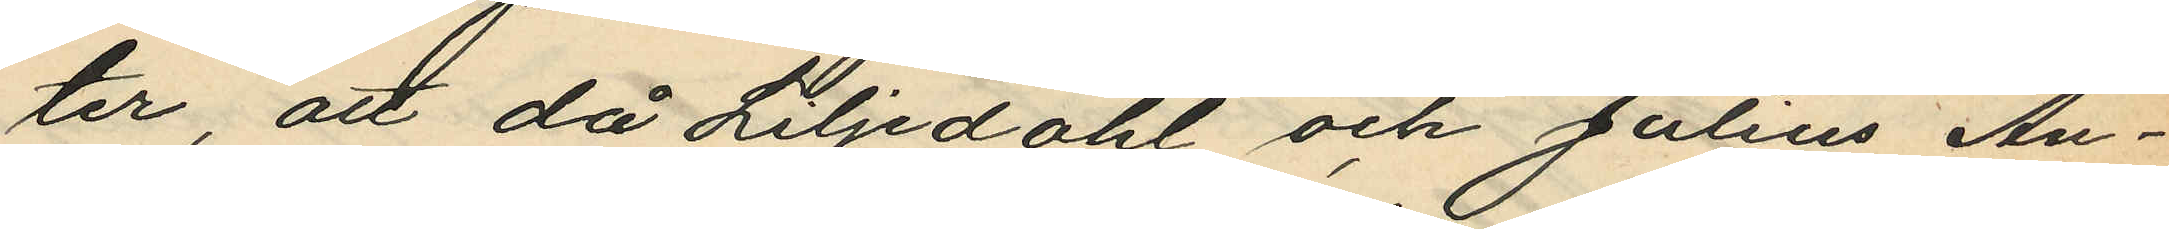ter, att då Liljedahl och Julius An¬
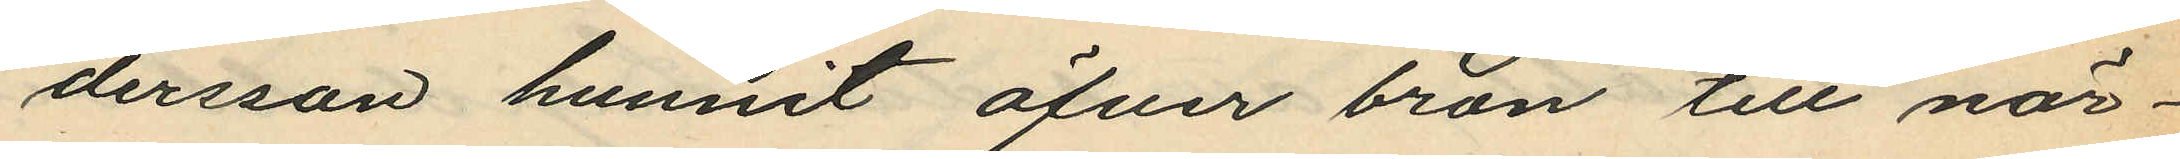dersson hunnit öfver bron till när¬
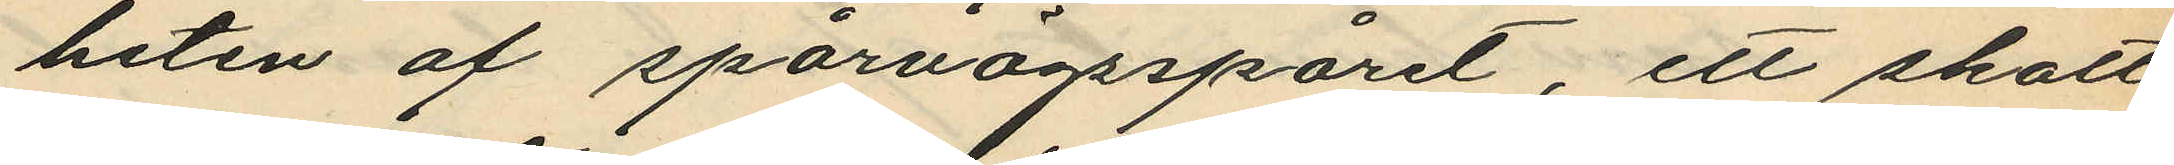heten af spärvägsspåret, ett skott
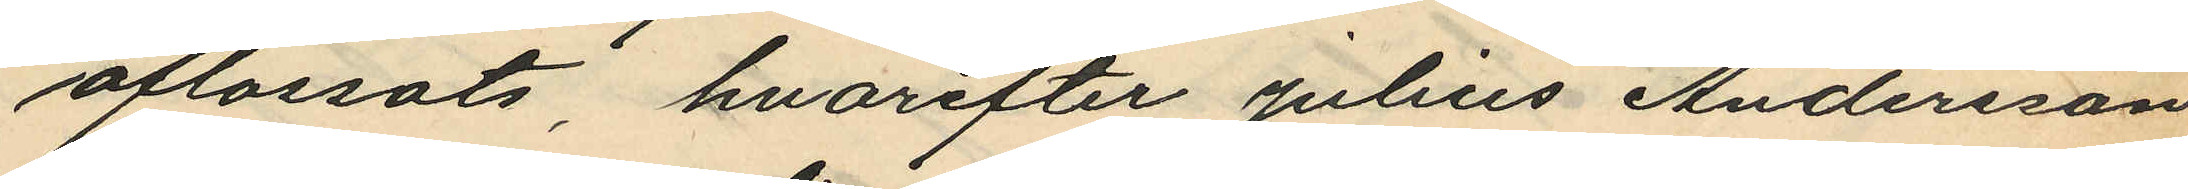aflossats, hvarefter Julius Andersson
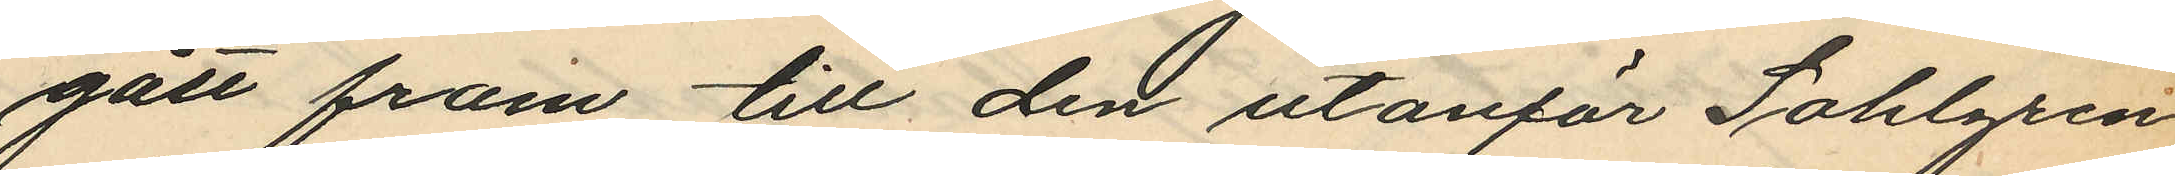gått fram till den utanför Sahlgren
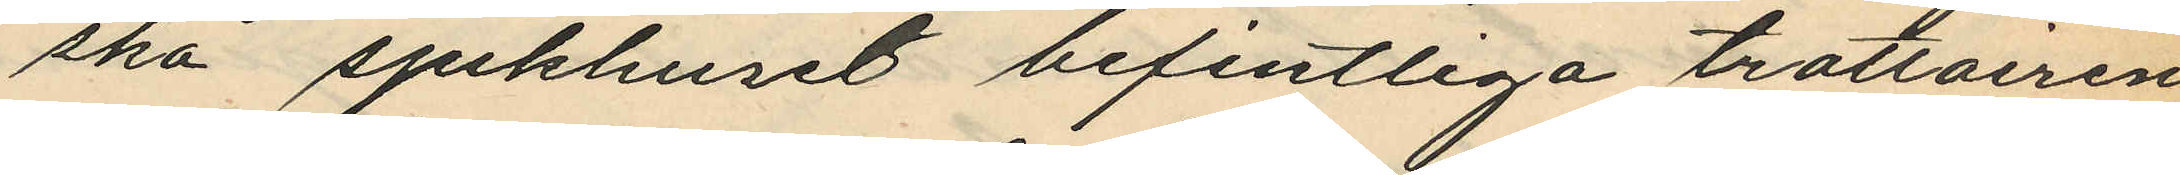ska sjukhuset befintliga trottoiren
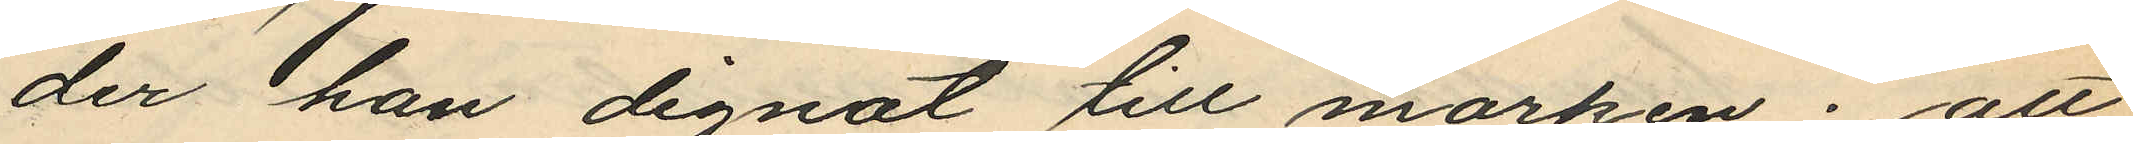der han dignat till marken; att
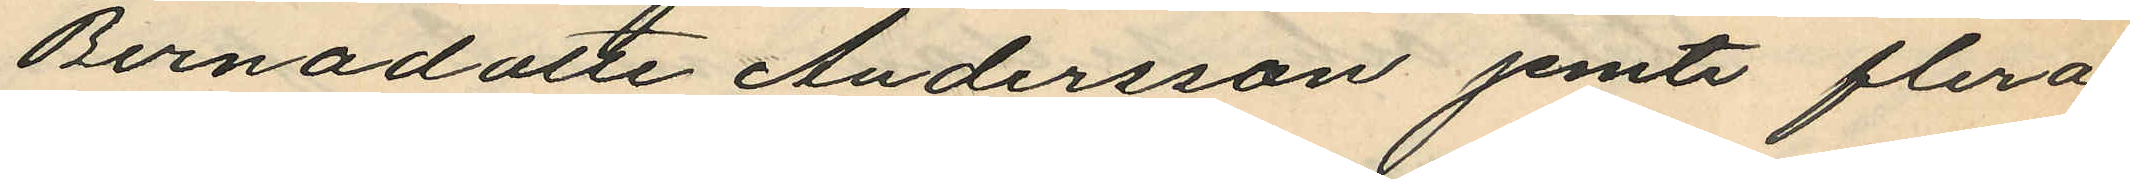Bernadotte Andersson jemte flera
